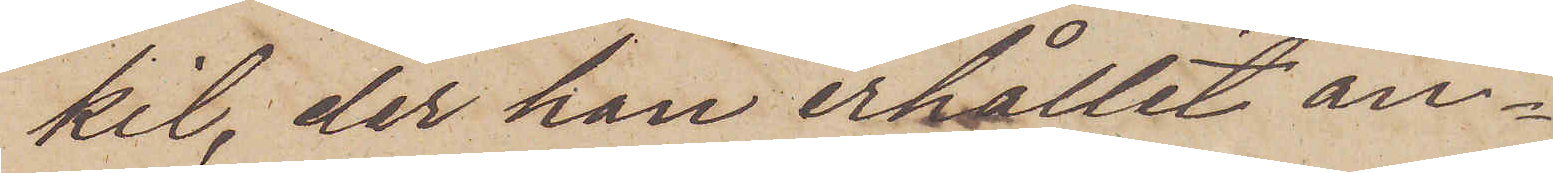kil, der han erhållit an¬
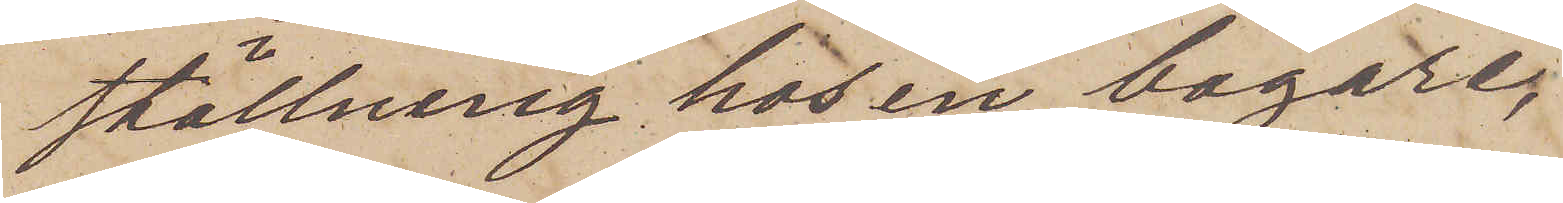ställning hos en bagare,
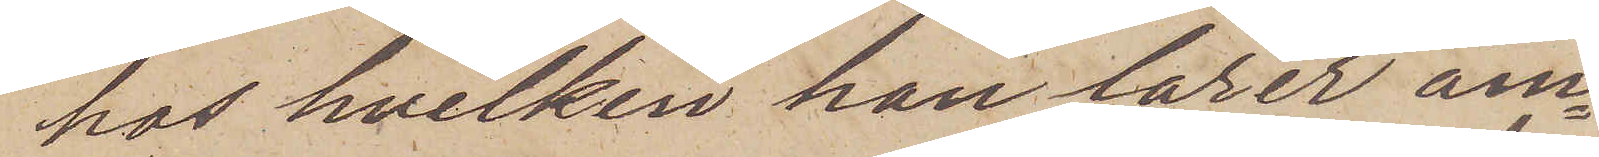hos hvilken han lärer äm¬
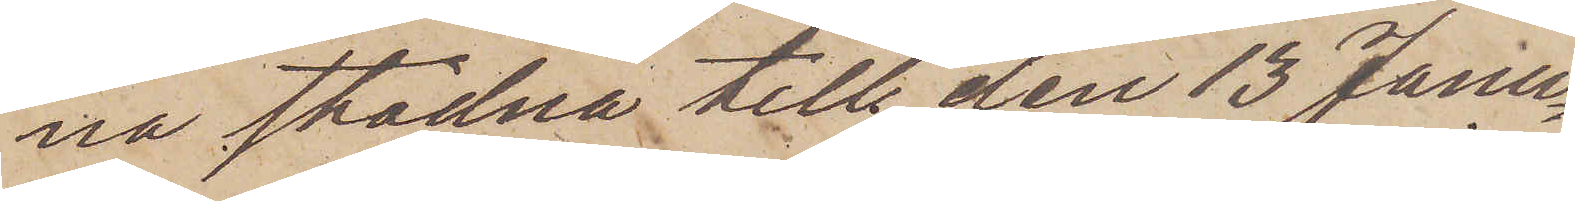na stadna till den 13 Janu¬
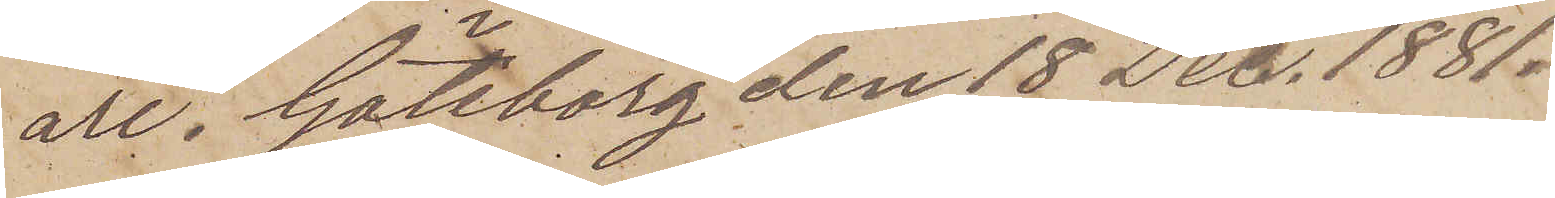ari. Göteborg den 18 Dec. 1881.
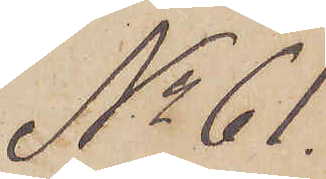No 61
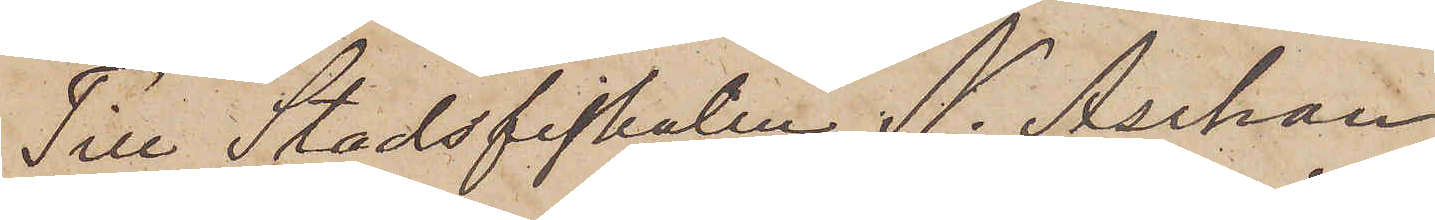Till Stadsfiskalen N. Aschan
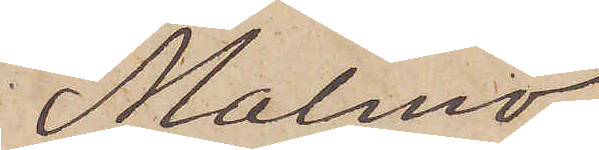Malmö.
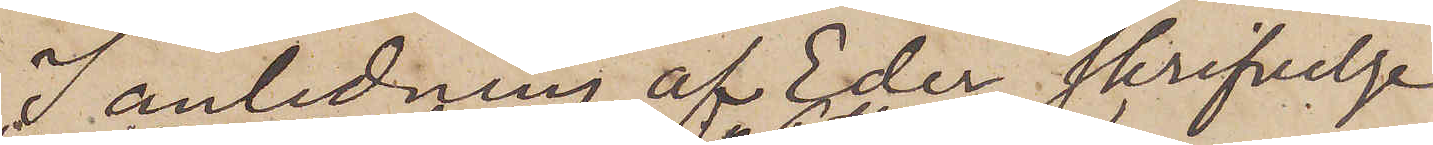I anledning af Eder skrifvelse
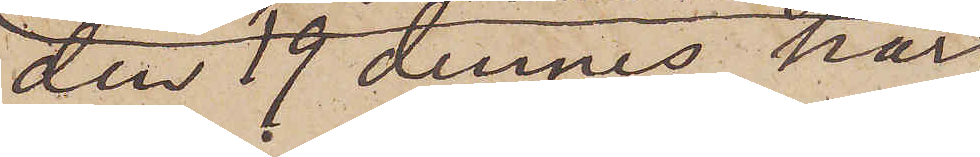den 19 dennes har
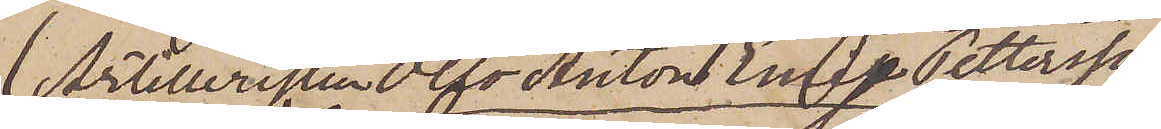 Artilleristen Otto Anton Emil Pettersson
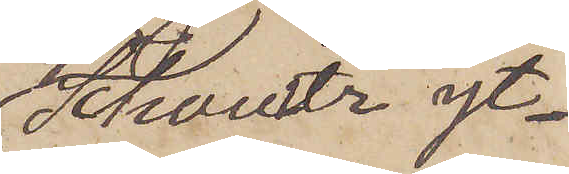Schoultz yt¬
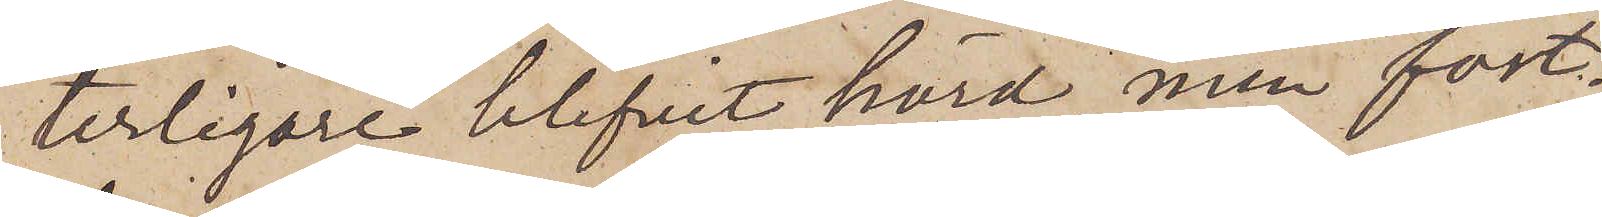terligare blifvit hörd, men fort¬
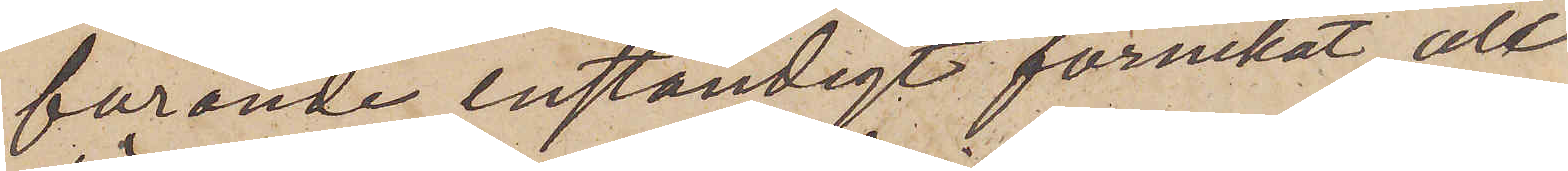farande enständigt förnekat all
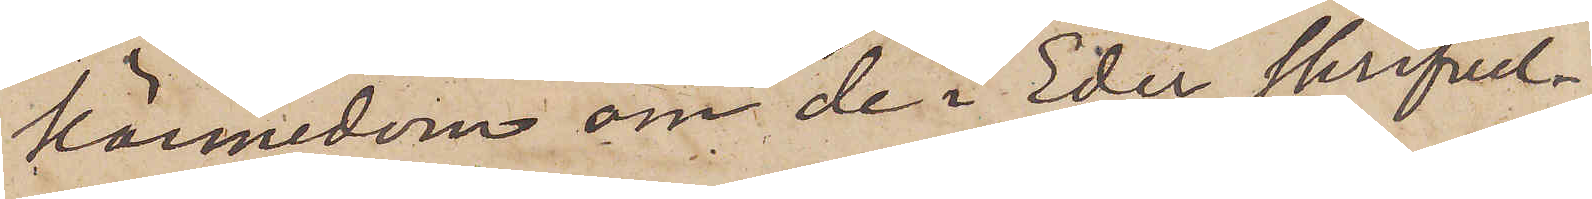kännedom om de i Eder skrifvel¬
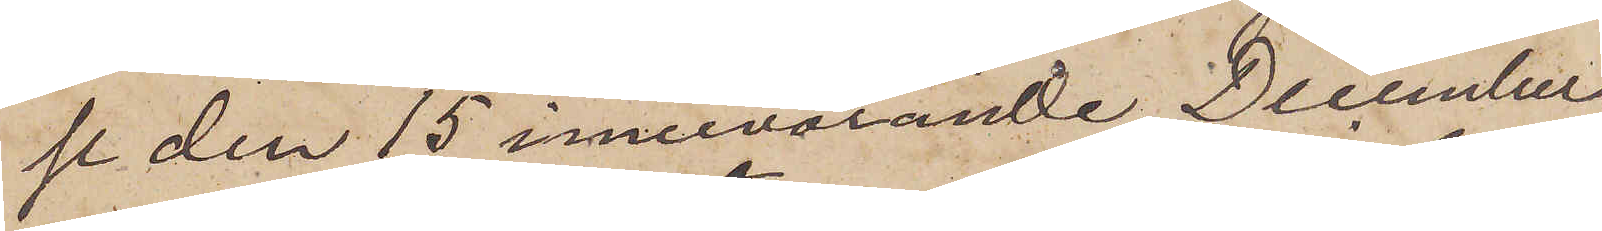se den 15 innevarande December
